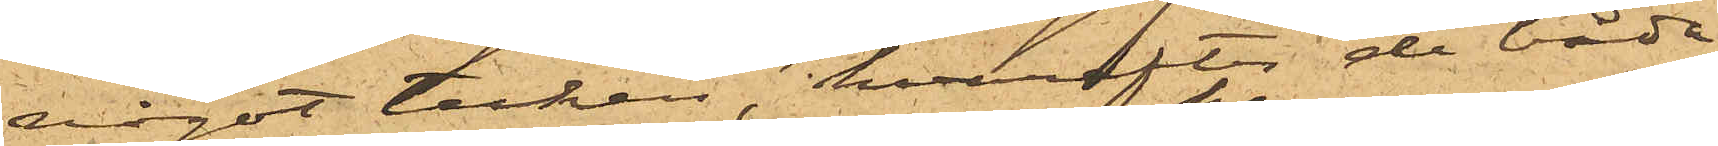något tecken, hvarefter de båda
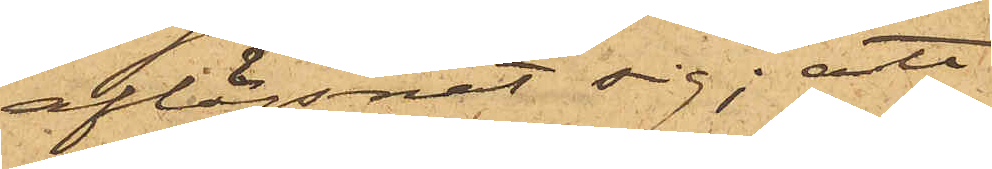aflägsnat sig; att
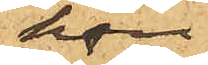han
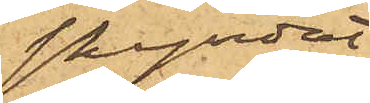skyndat
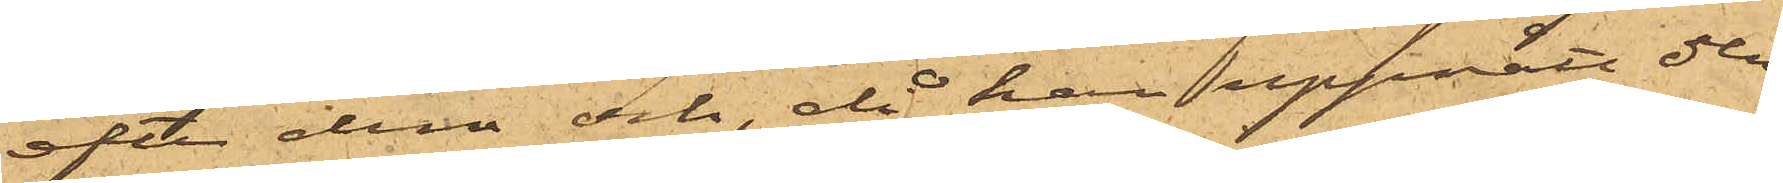efter dem och, då han uppnått dem,
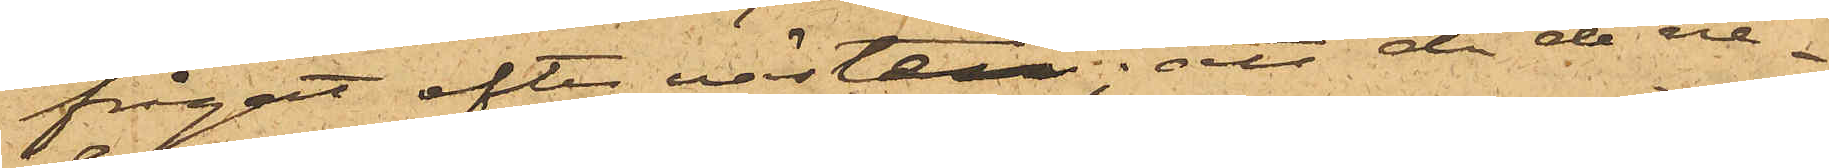frågat efter västen; att då de ne¬
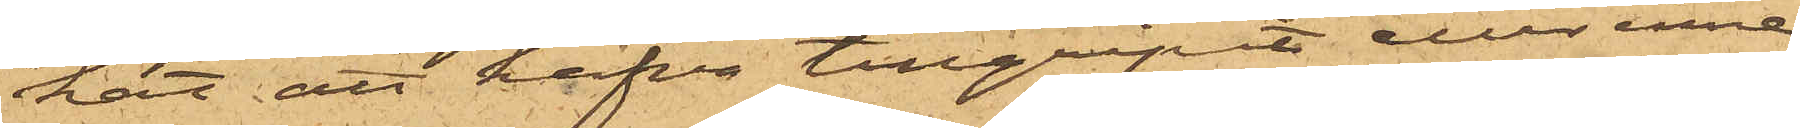kat att hafva tillgripit eller inne¬
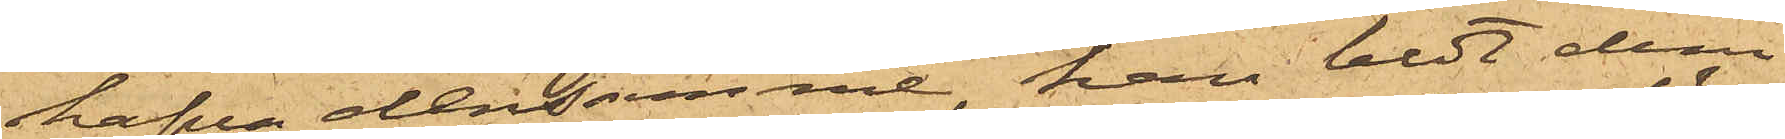hafva densamme, han bett dem
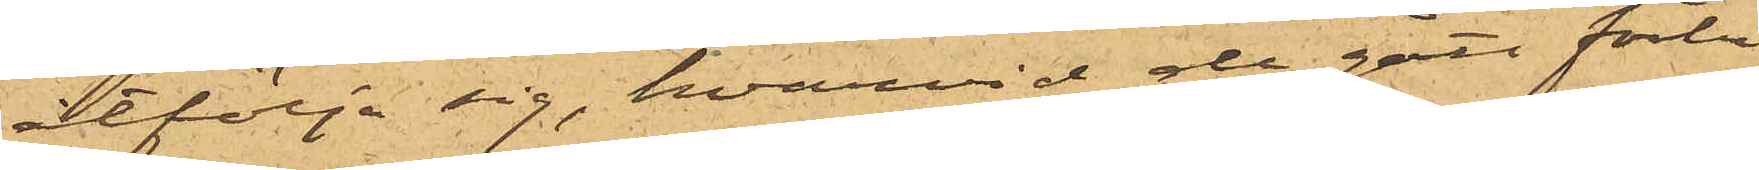åtfölja sig, hvarvid de gått förbi
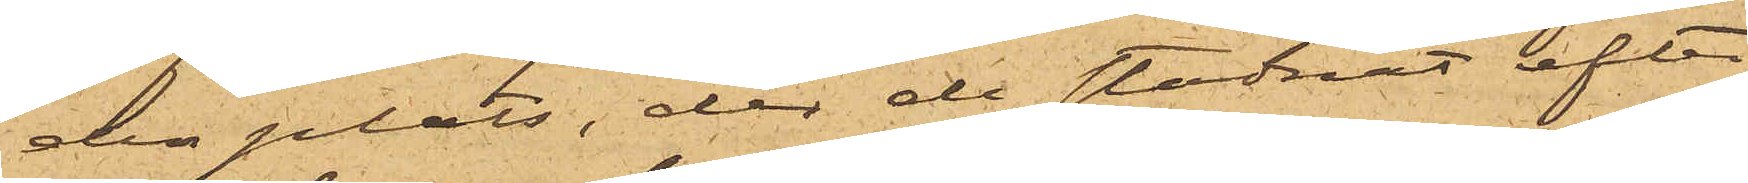den plats, der de stadnat efter
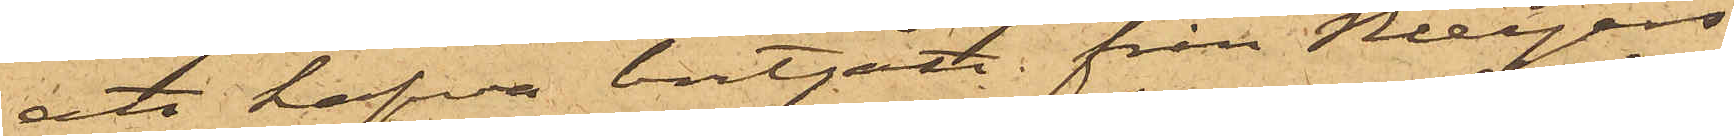att hafva bortgått från Meyers
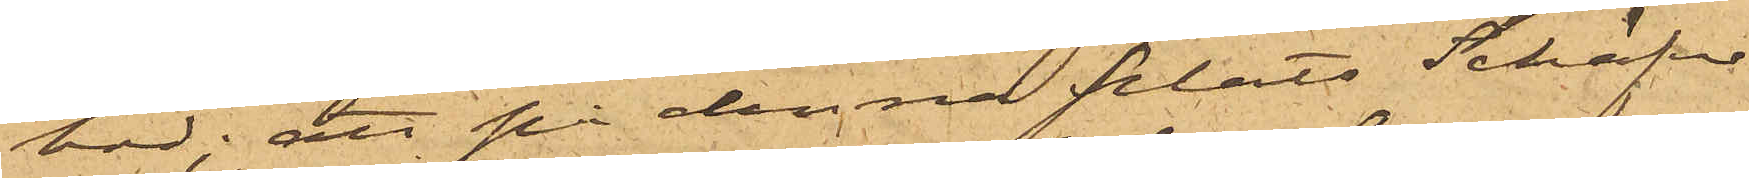bod; att på denna plats Schäfer
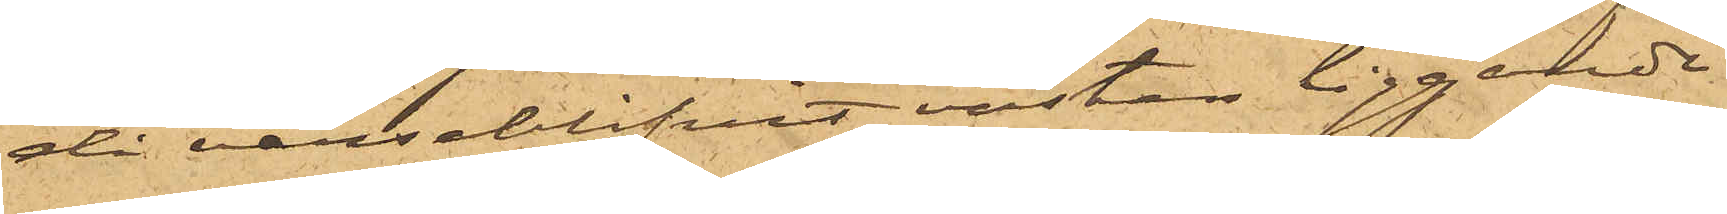då varseblifvit västen liggande
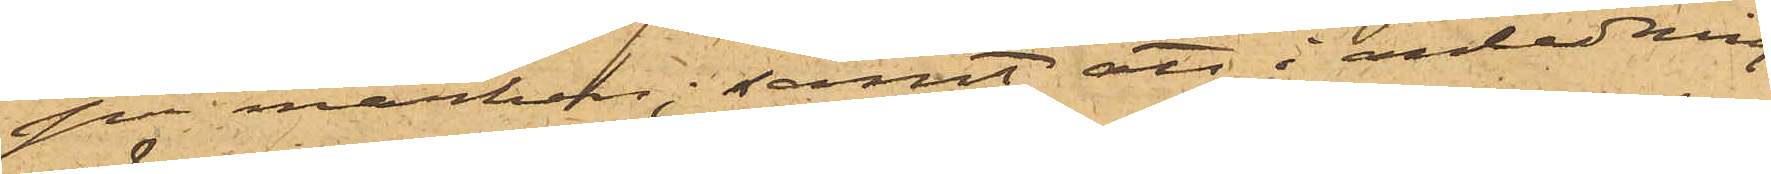på marken; samt att i anledning
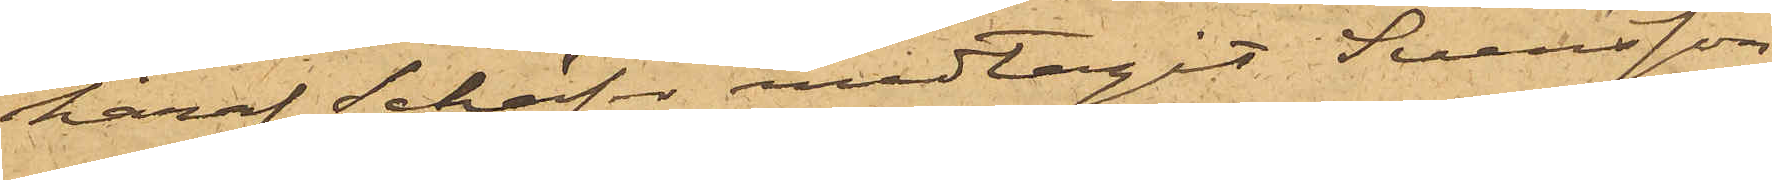häraf Schäfer medtagit Svensson
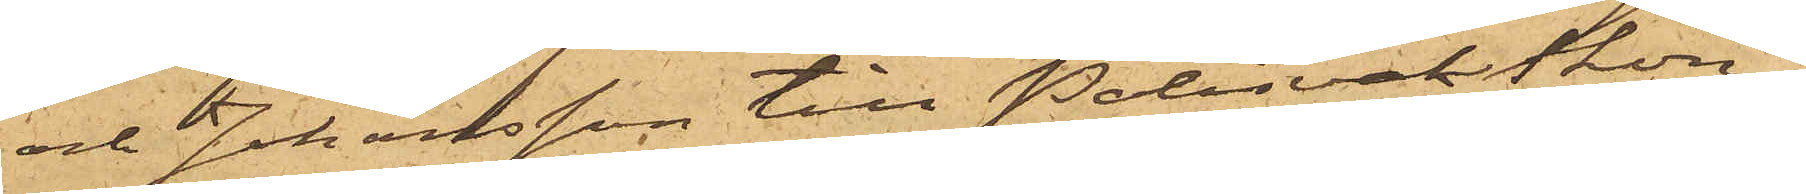och Johansson till Polisvaktkon¬
